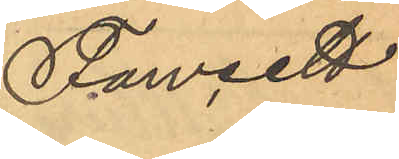Fawcett
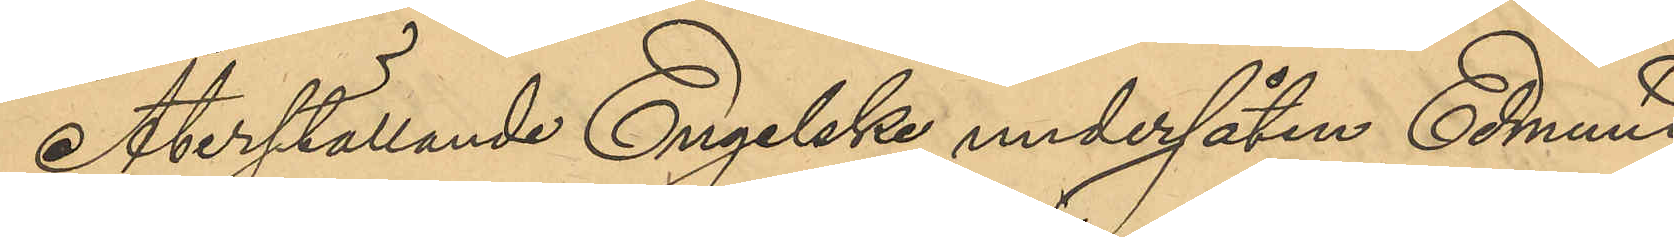Återställande Engelske undersåten Edmund
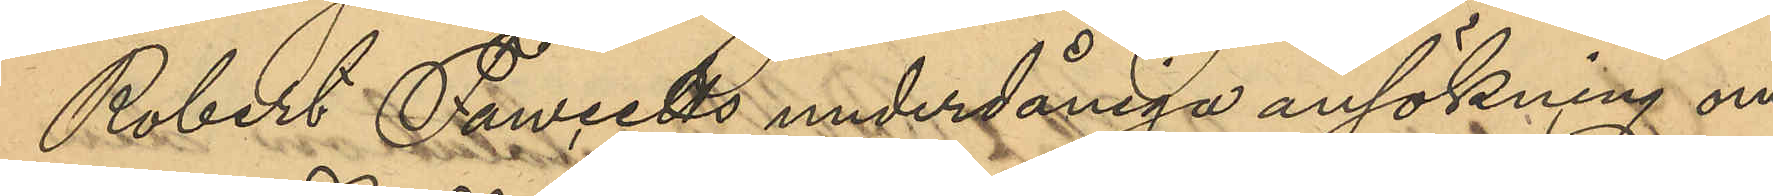Robert Fawcetts underdåniga ansökning om
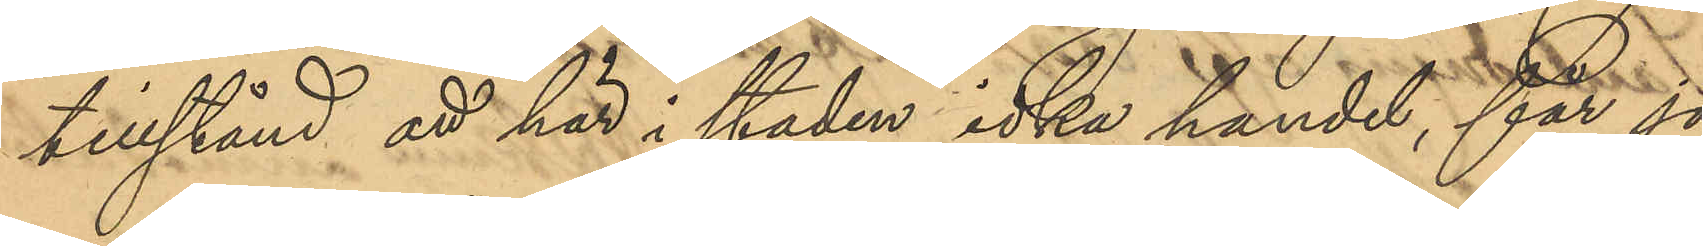tillstånd att här i staden idka handel, får jag
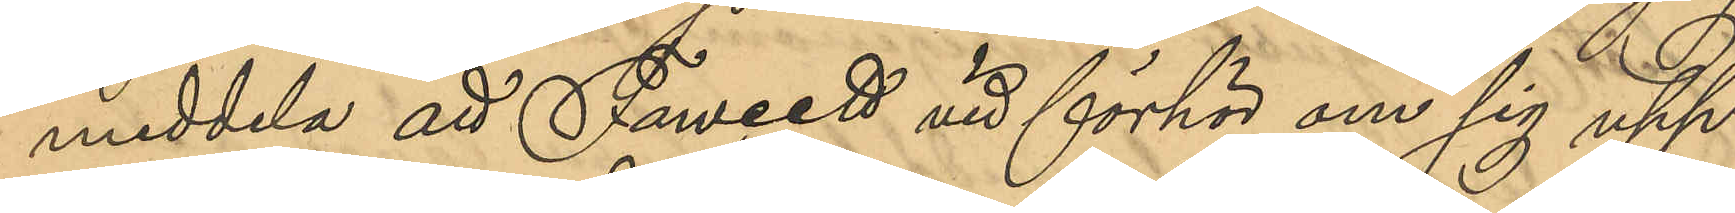meddela att Fawcett vid förhör om sig upp¬
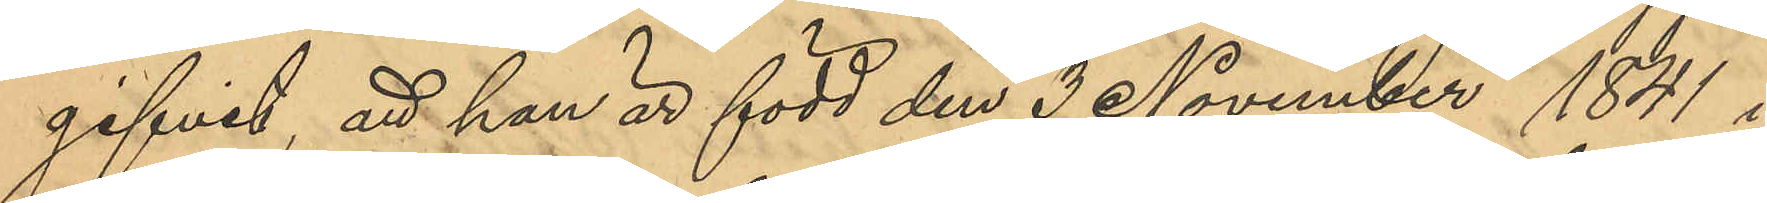gifvit, att han är född den 3 November 1841 i
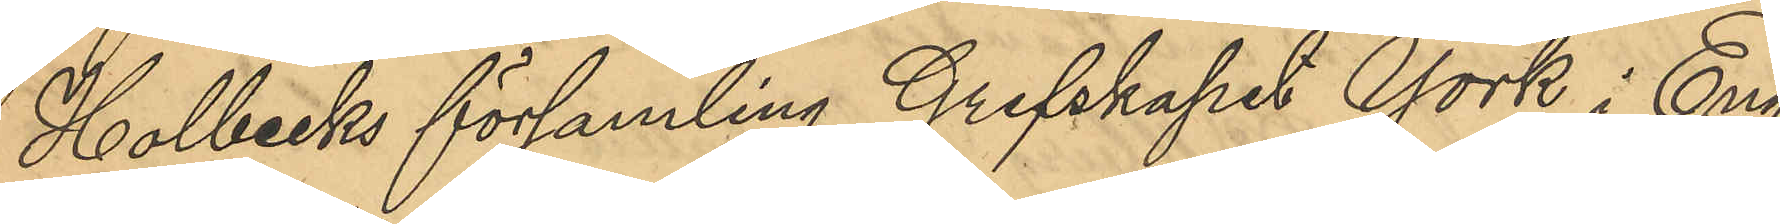Holbecks församling Grefskapet York i Eng¬
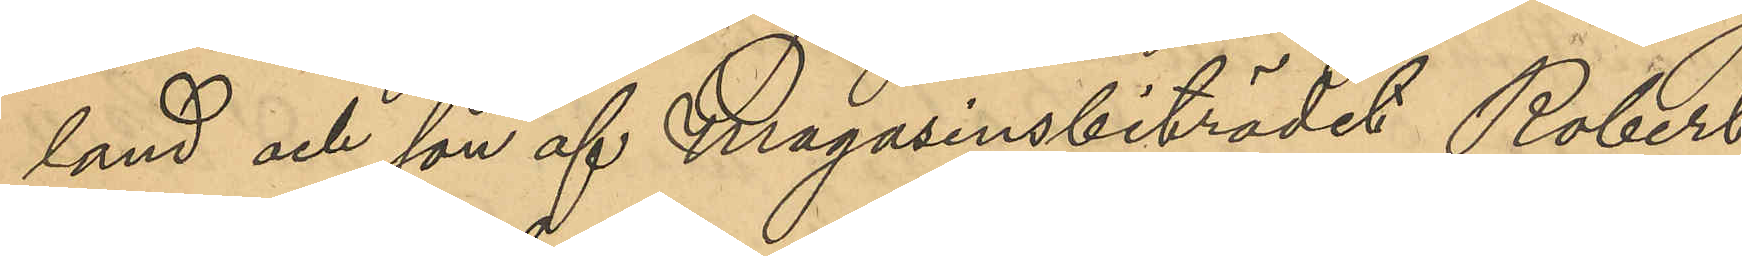land och son af Magasinsbiträdet Robert
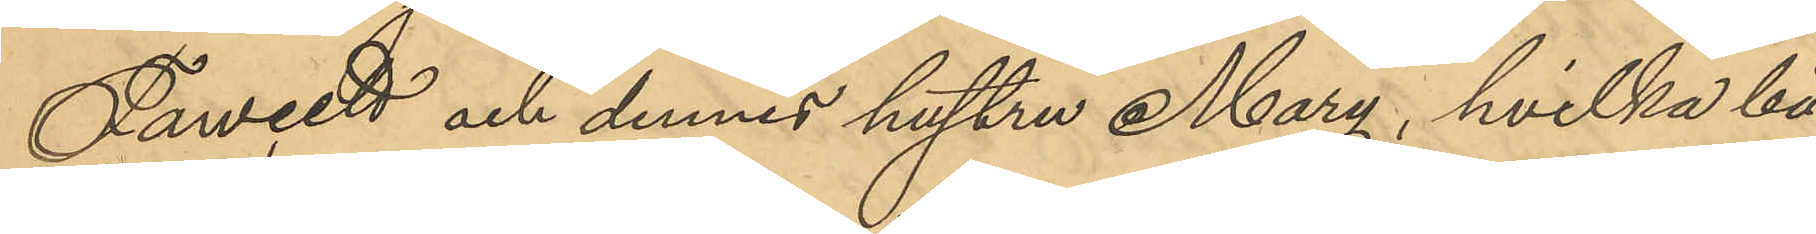Fawcett och dennes hustru Mary, hvilka bå¬
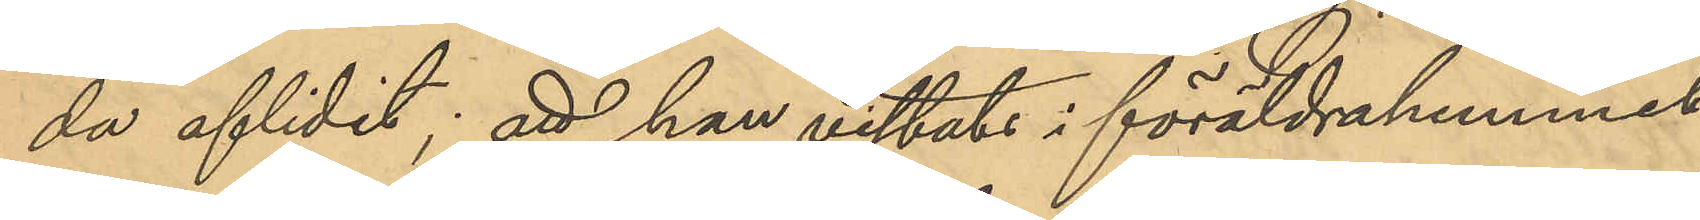da aflidit; att han vistats i föräldrahemmet
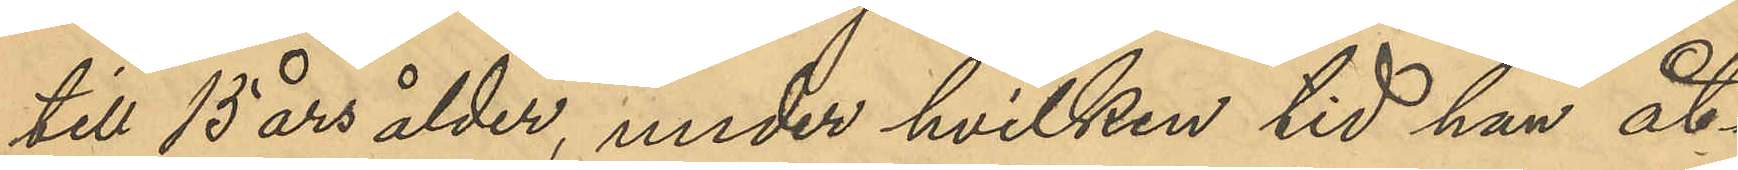till 15 års ålder, under hvilken tid han åt¬
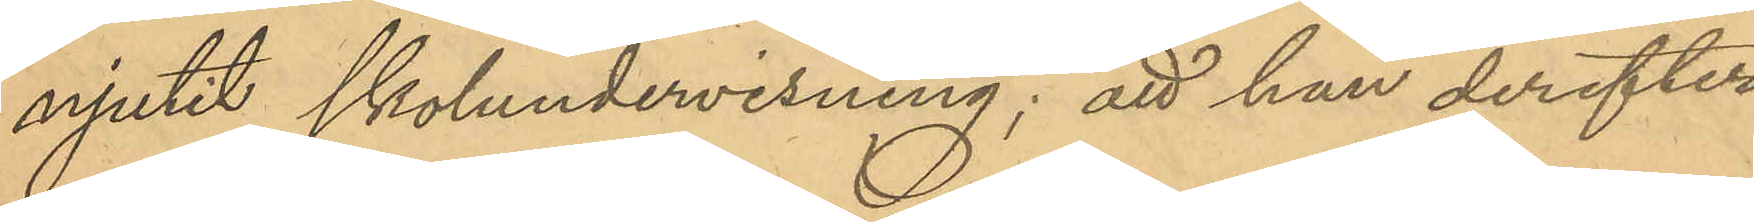njutit skolundervisning; att han derefter
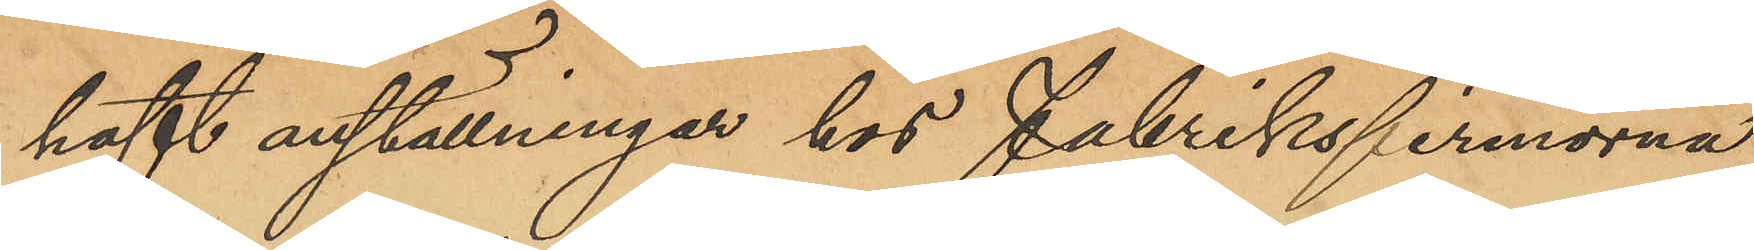haft anställningar hos Fabriksfirmorna
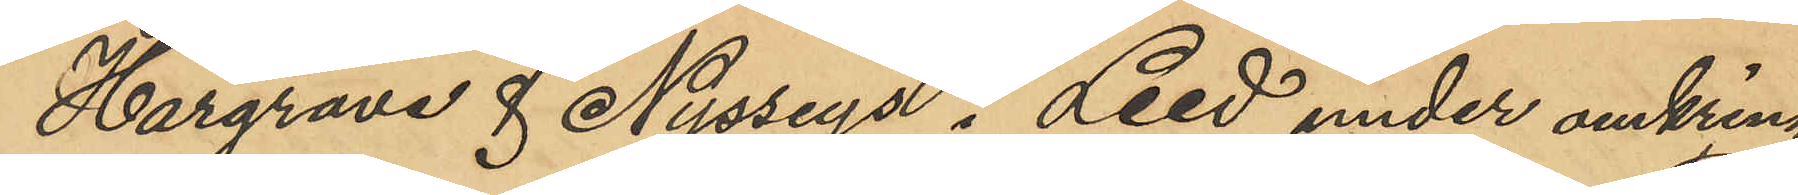Hargrave & Nysseys i Leed under omkring
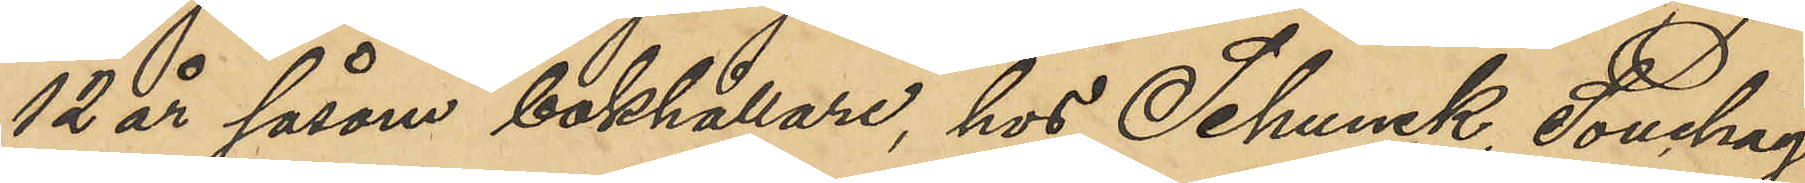12 år såsom bokhållare, hos Schunck, Souchay
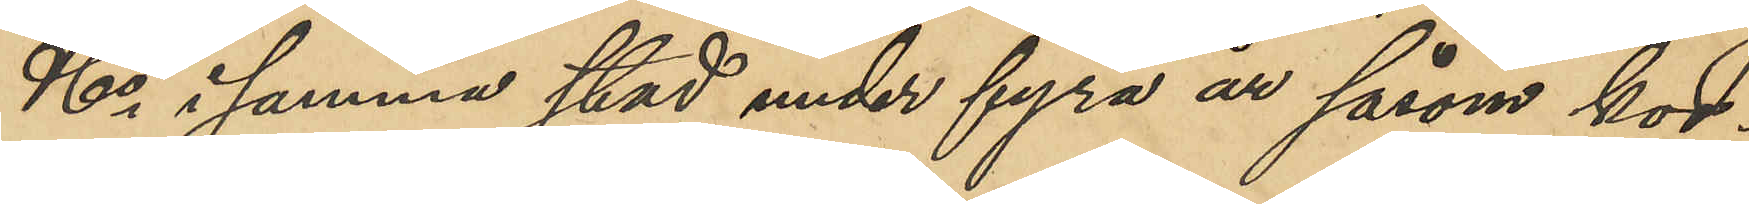& Co i samma stad under fyra år såsom kor¬
